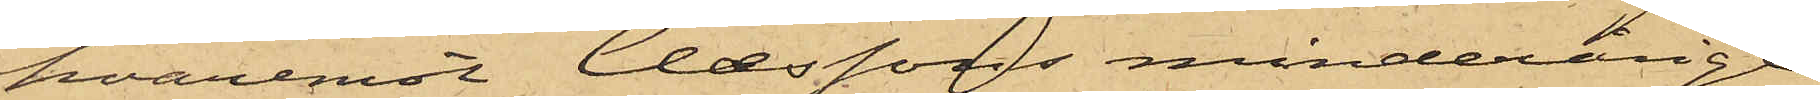hvaremot Clæssons minderårige
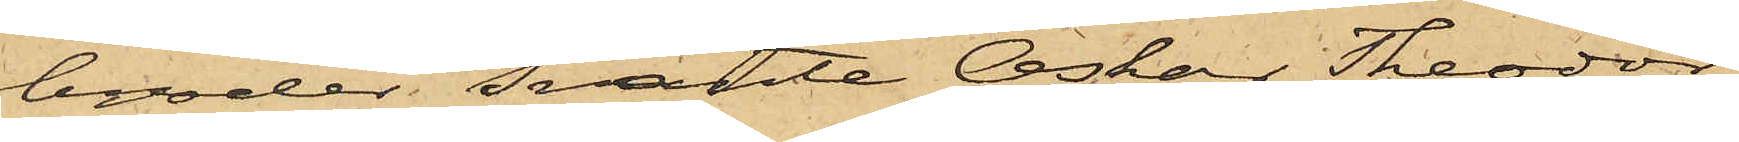broder Svante Oskar Theodor
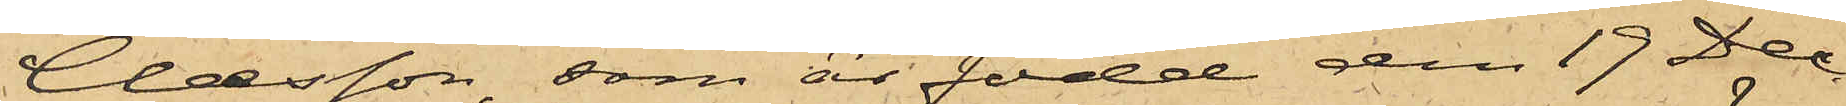Clæsson, som är född den 17 Dec.
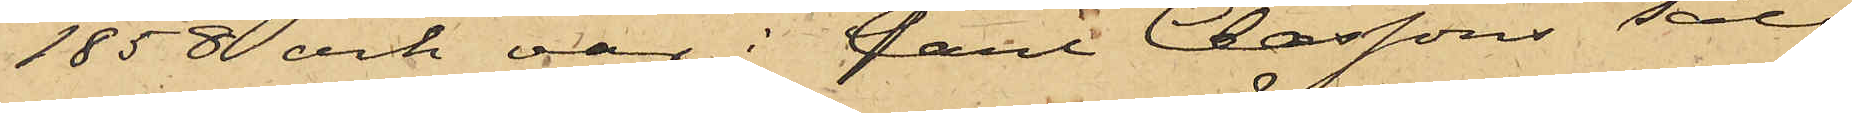1858 och var i Carl Clæssons säll¬
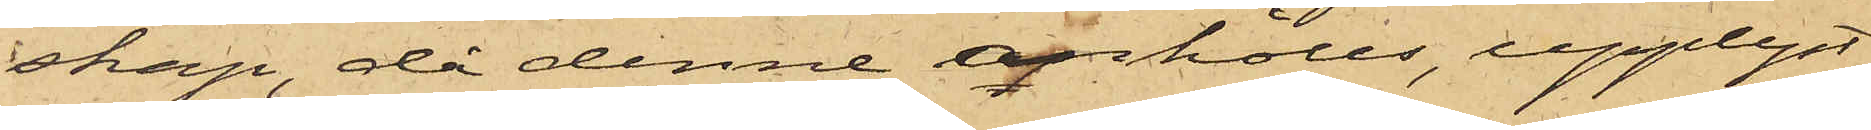skap, då denne anhölls, upplyst
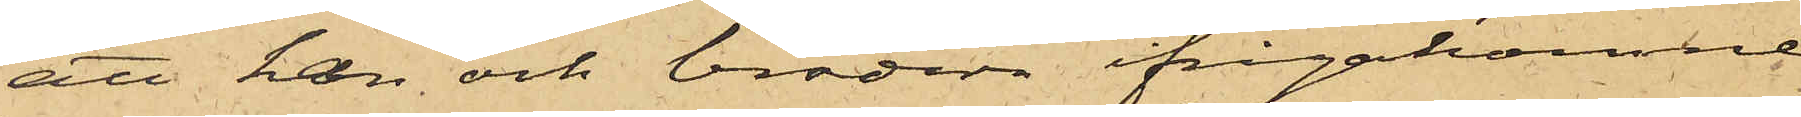att han och broden ifrågakomne
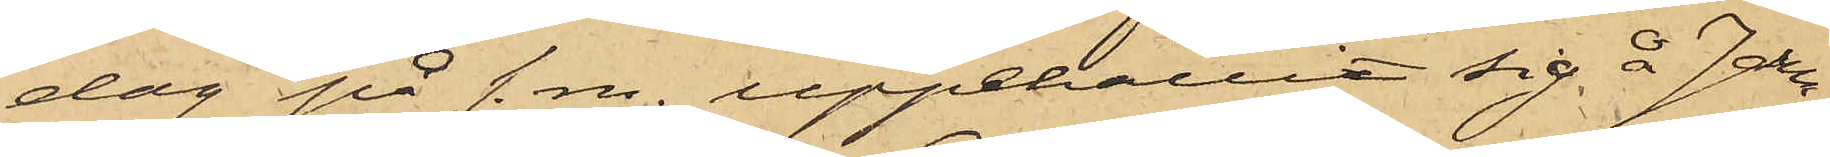dag på f. m. uppehållit sig å Jern¬
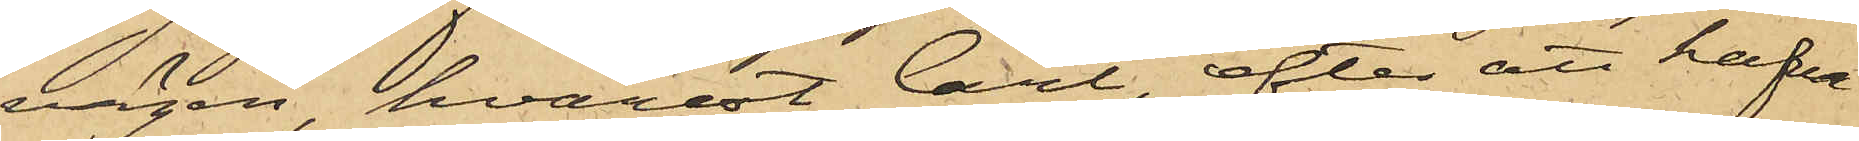vågen, hvarest Carl, efter att hafva
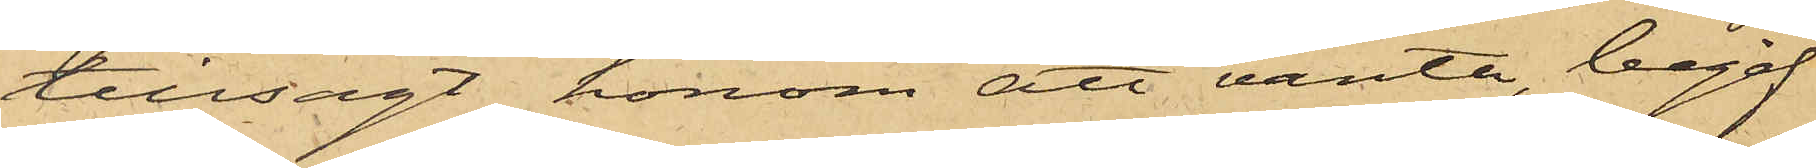tillsagt honom att vänta, begif¬
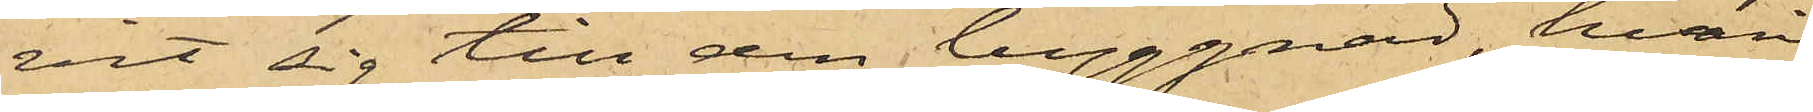vit sig till den byggnad, hvari
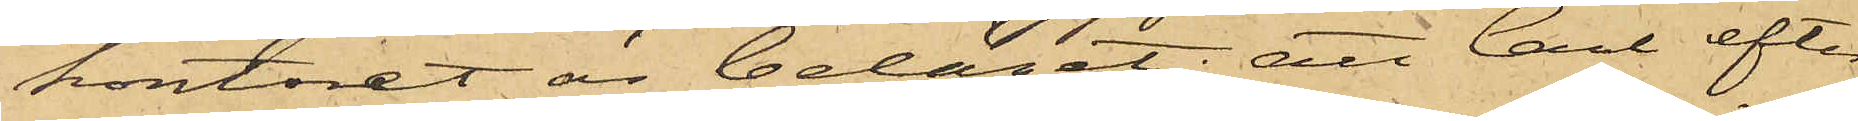kontoret är beläget; att Carl efter
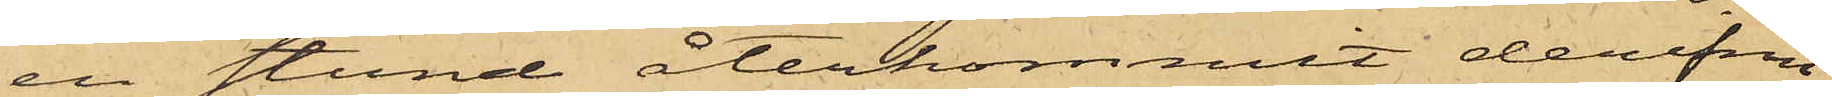en stund återkommit derifrån
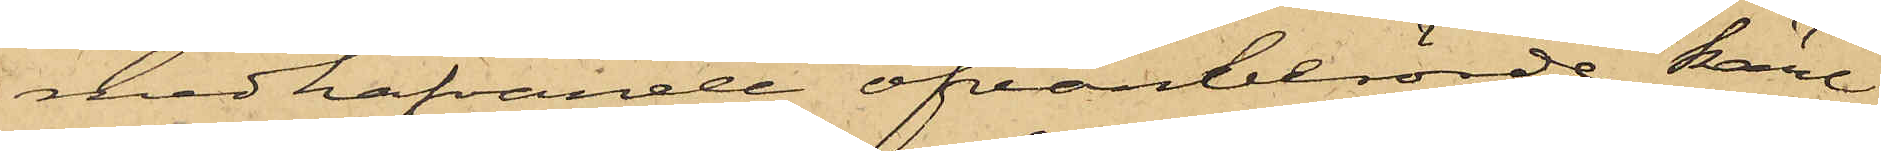medhafvande ofvanberörde kärl,
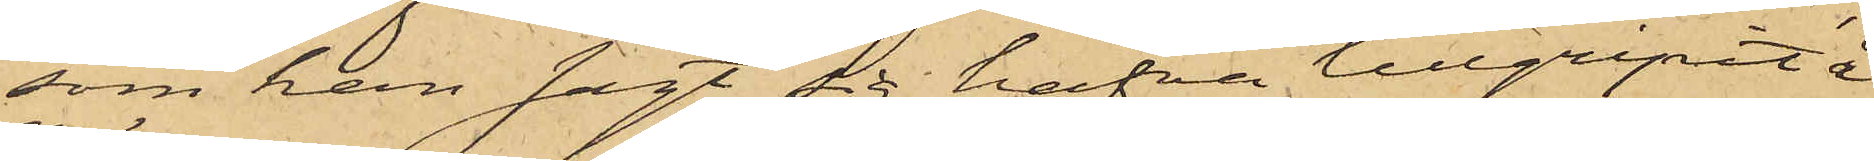som han sagt sig hafva tillgripit å
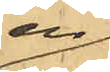en
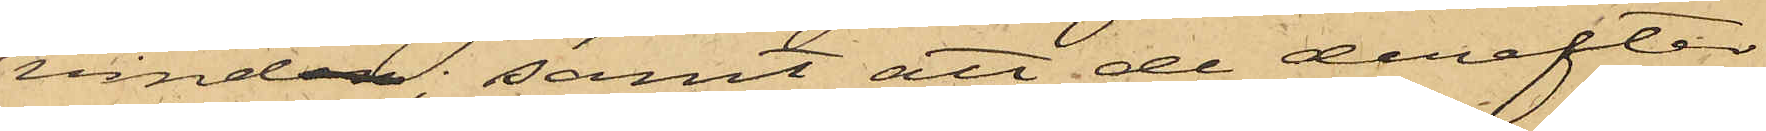vinden; samt att de derefter
